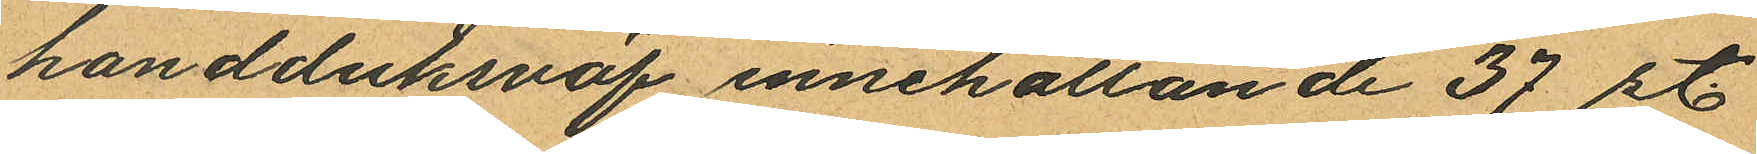handduksväf innehållande 37 st.
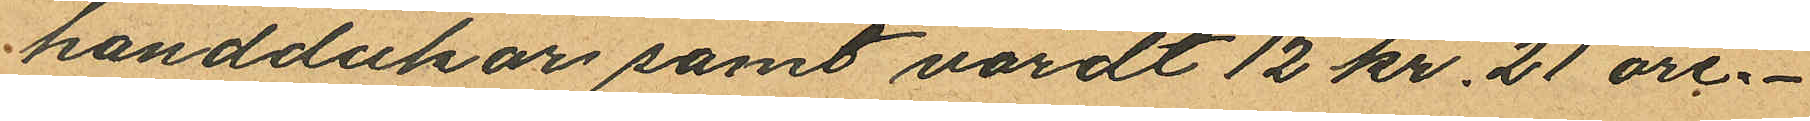handdukar samt värdt 12 kr. 21 öre.
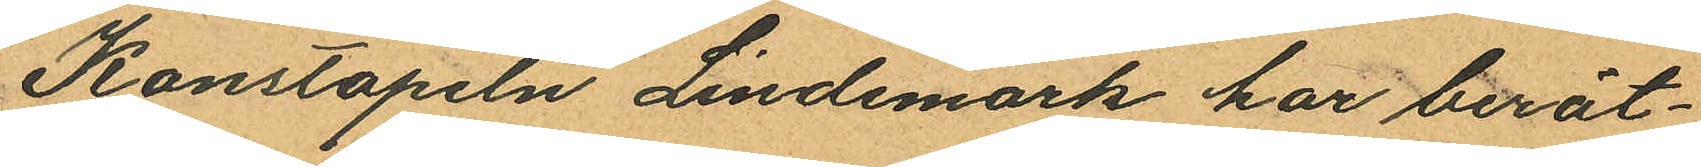Konstapeln Lindemark har berät¬
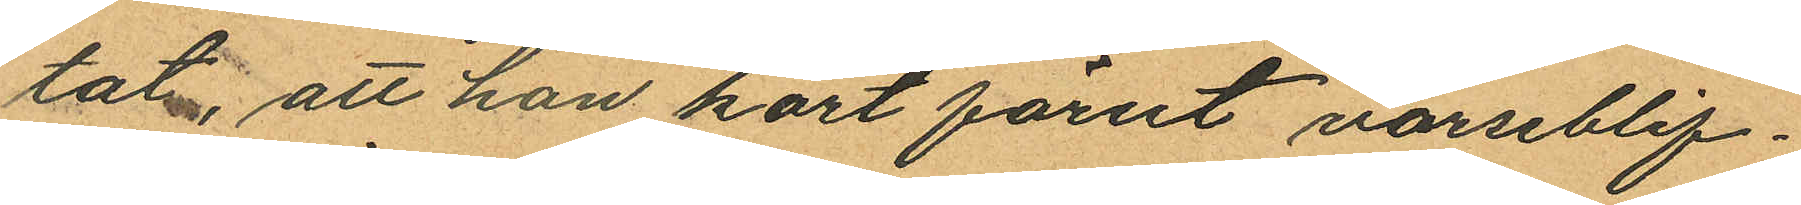tat, att han kort förut varseblif¬
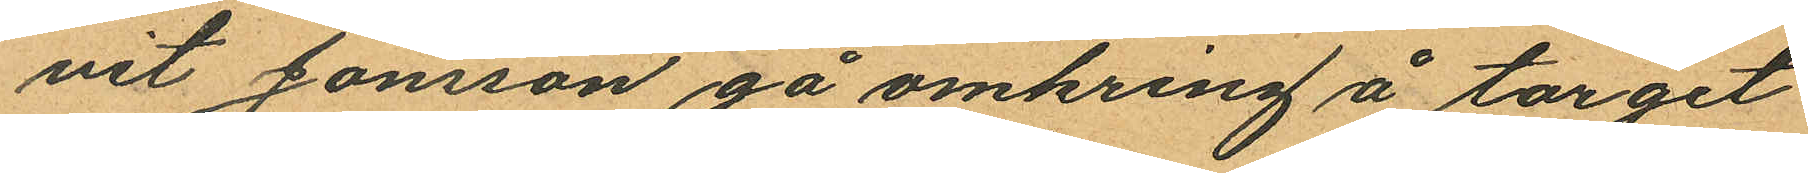vit Jonsson gå omkring å torget
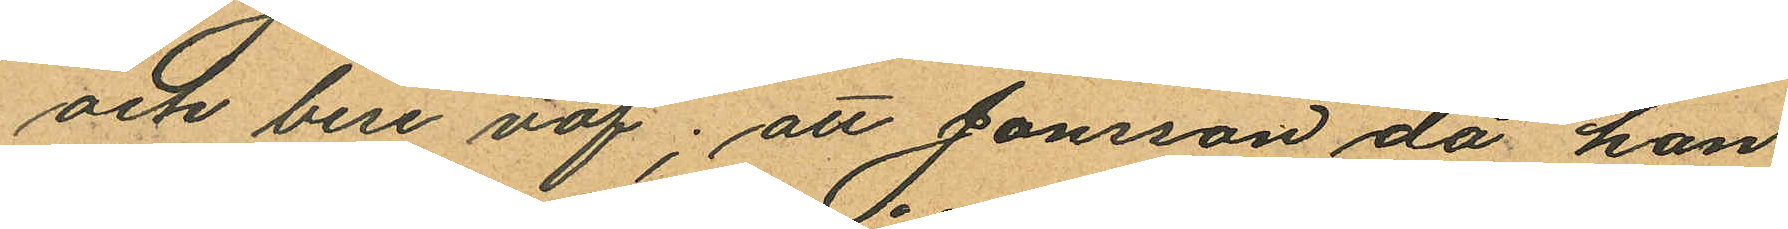och bere väf; att Jonsson då hon
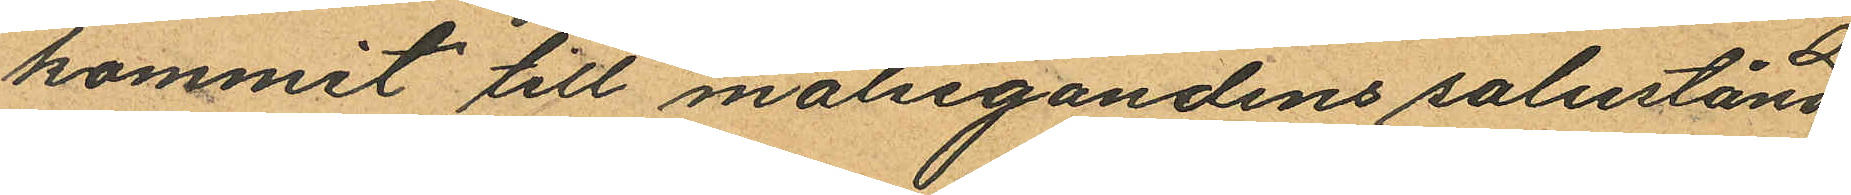kommit till målsegandens salustånd
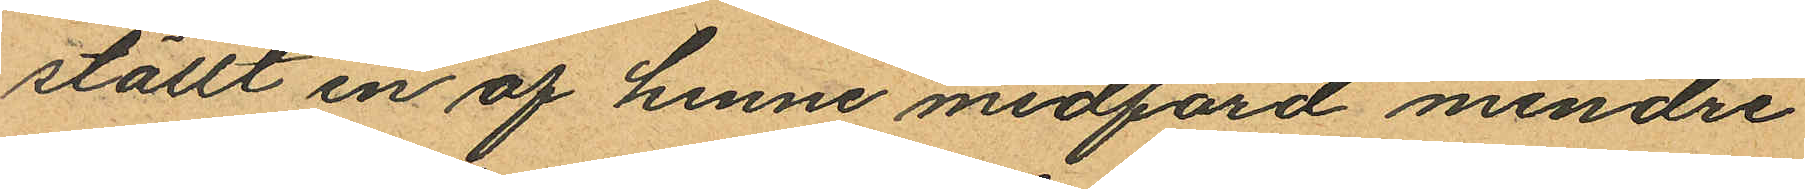ställt en af henne medförd mindre
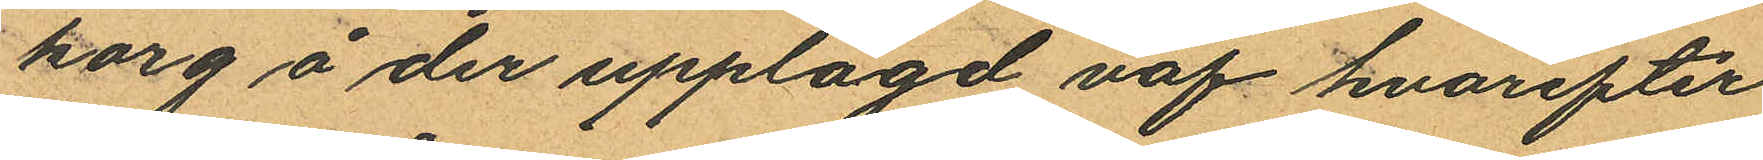korg å der upplagd väf hvarefter
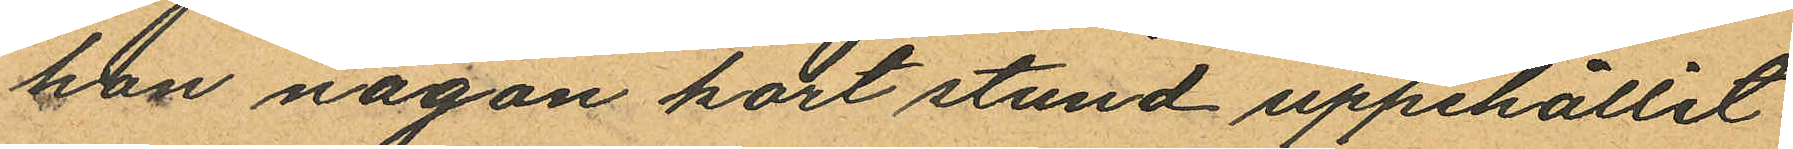hon någon kort stund uppehållit
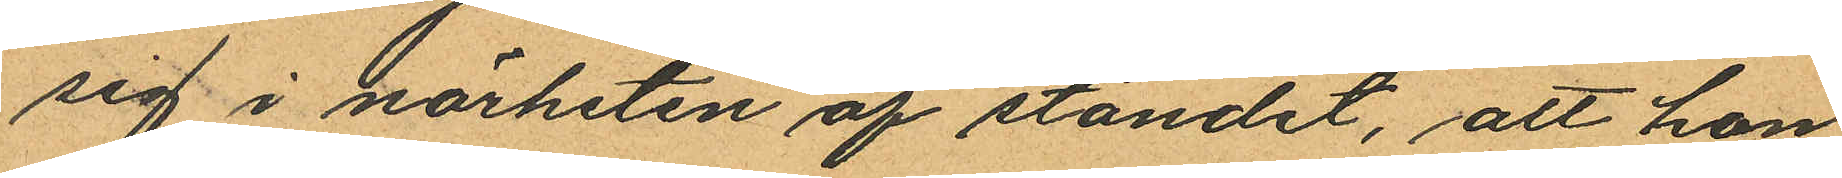sig i närheten af ståndet, att hon
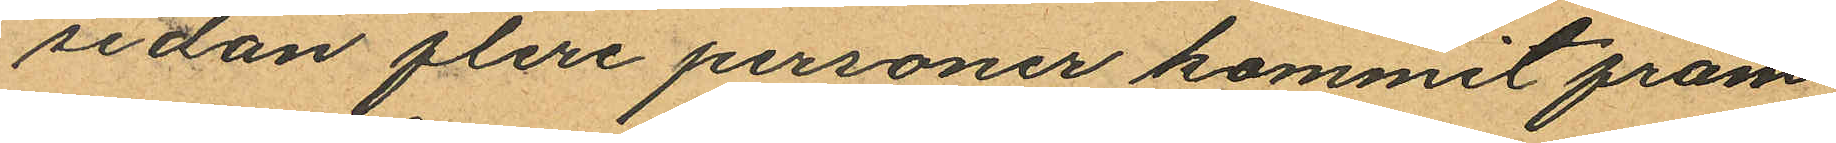sedan flera personer kommit fram
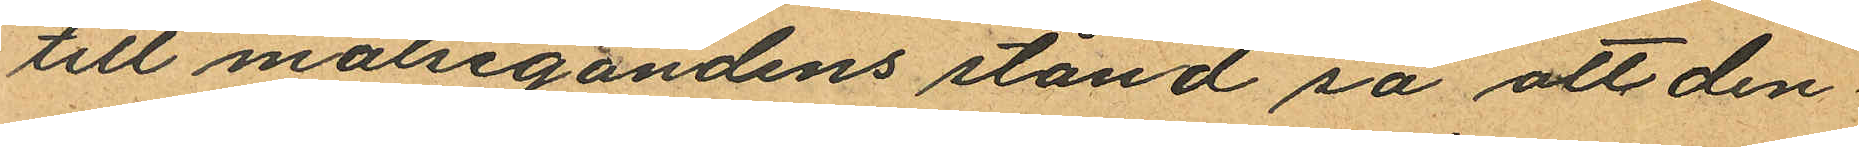till målsegandens stånd så att den¬
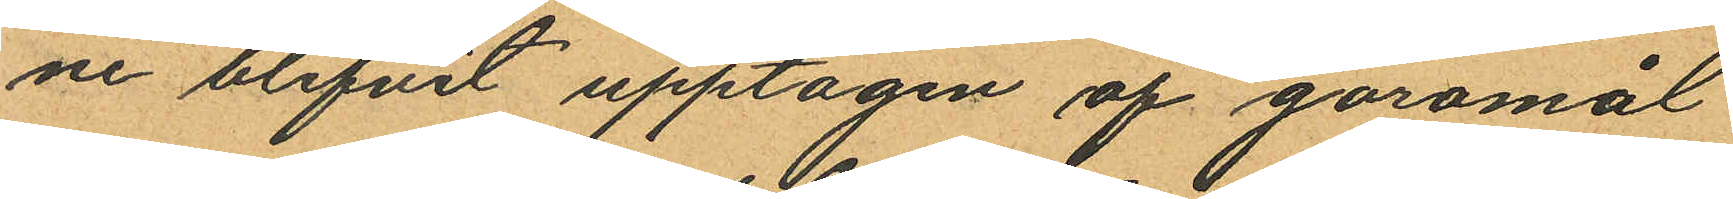ne blifvit upptagen af göromål
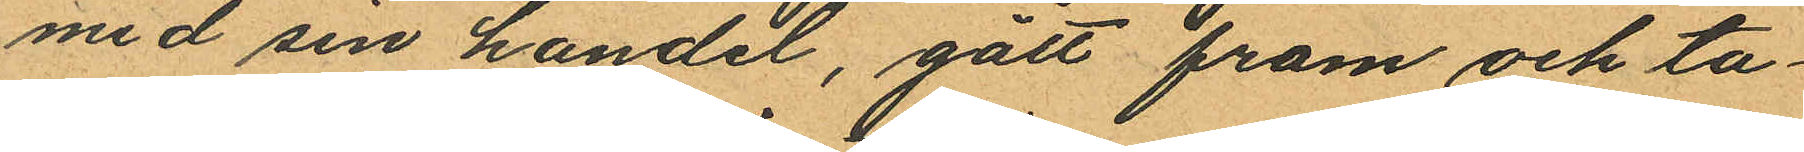med sin handel, gått fram och ta¬
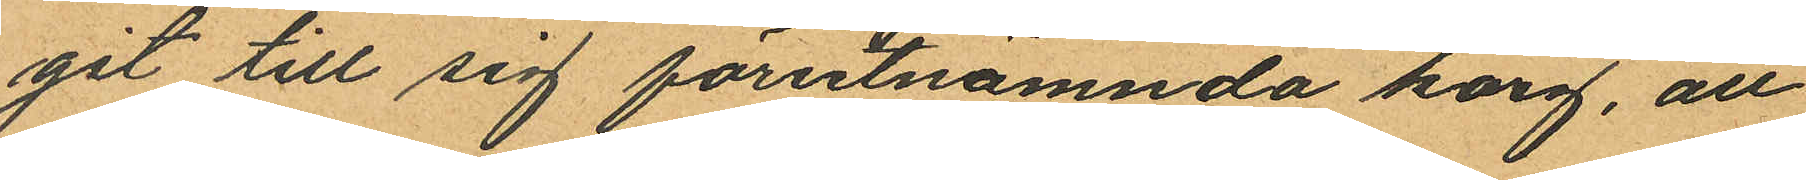git till sig förutnämnda korg, att
